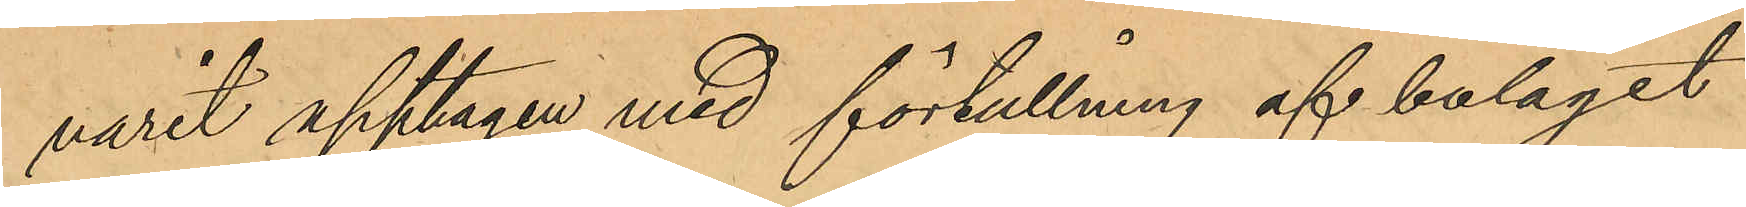varit upptagen med förtullning af bolaget
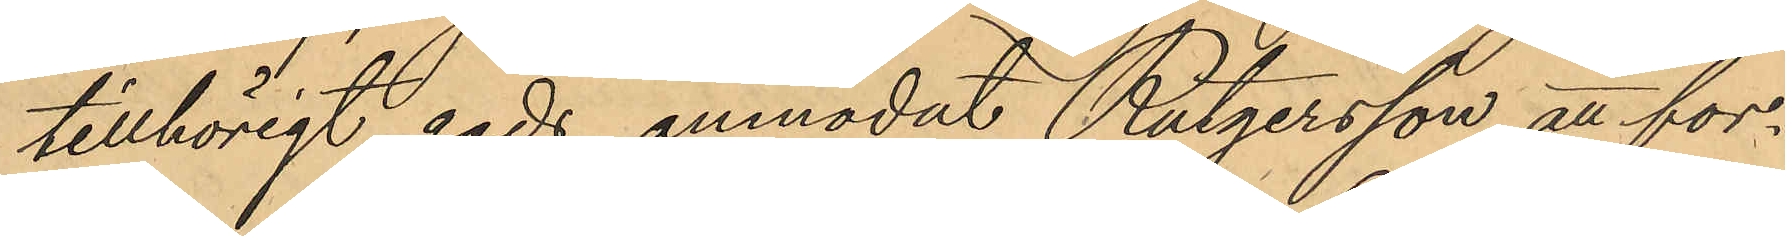tillhörigt gods anmodat Rutgersson att for¬
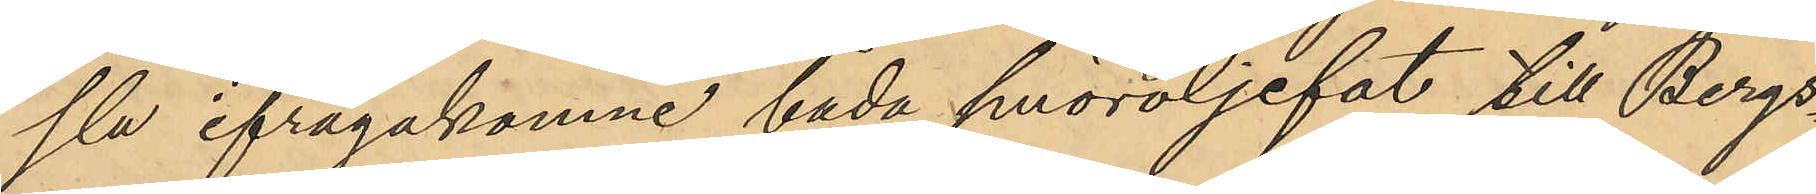sla ifrågakomne båda smöroljefat till Bergs¬
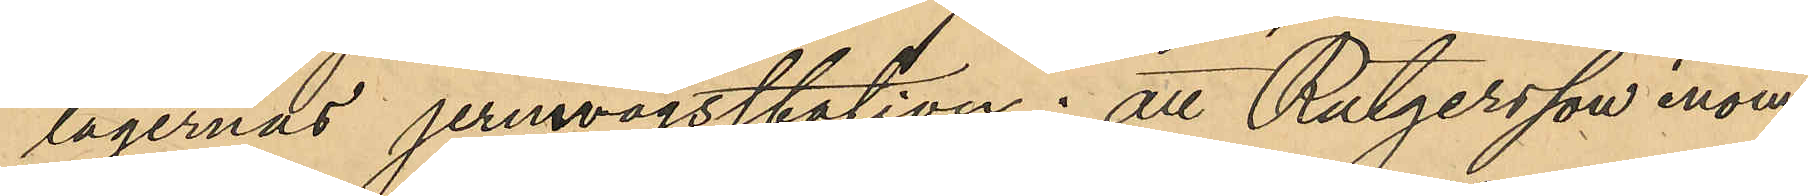lagernas jernvägsstation; att Rutgersson inom
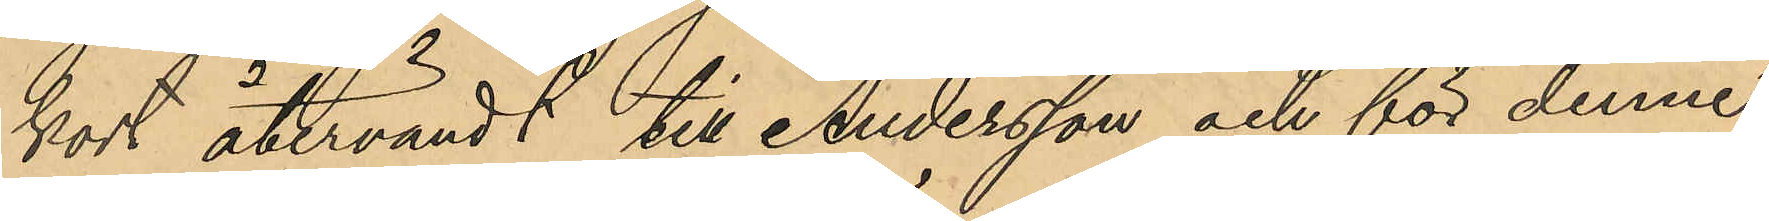kort återvändt till Andersson och för denne
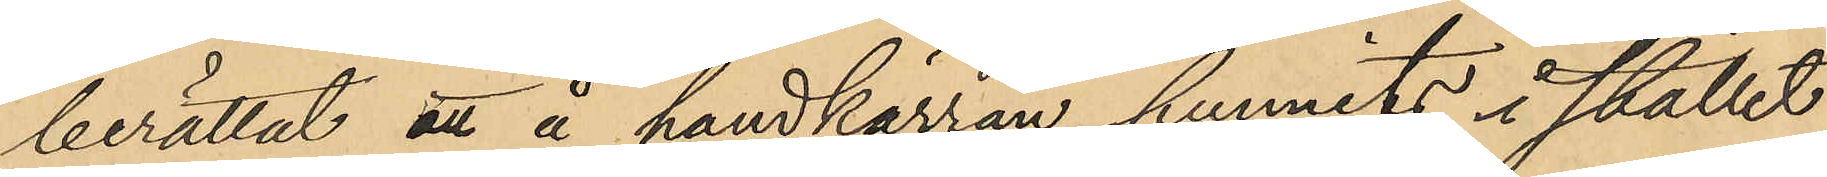berättat att å handkärran funnits i stället
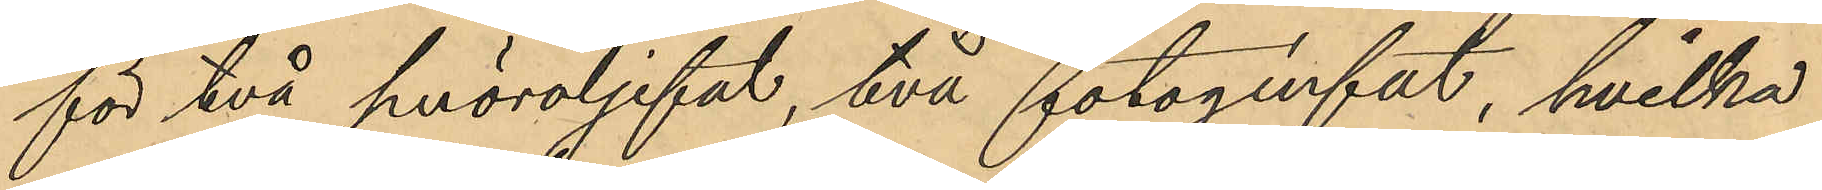för två smöroljefat, två fotogénfat, hvilka
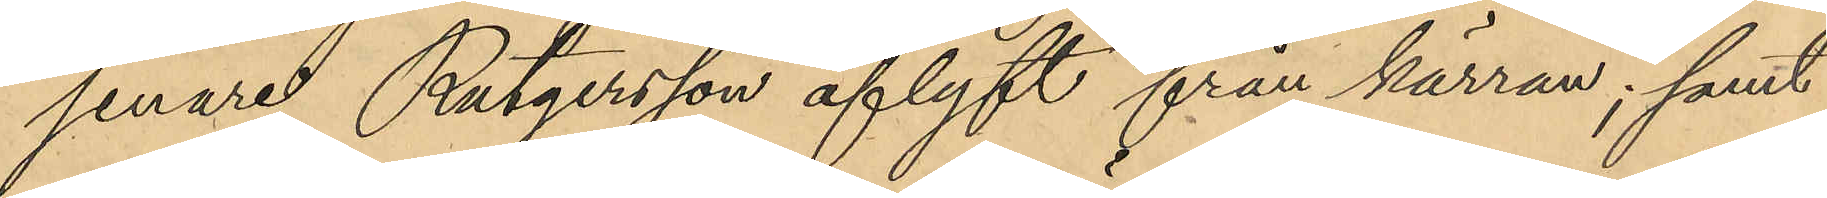senare Rutgersson aflyft från kärran; samt
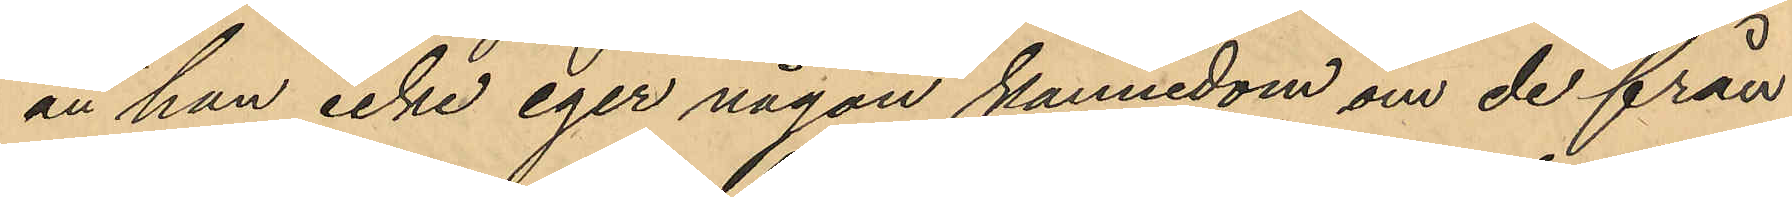att han icke eger någon kännedom om de från
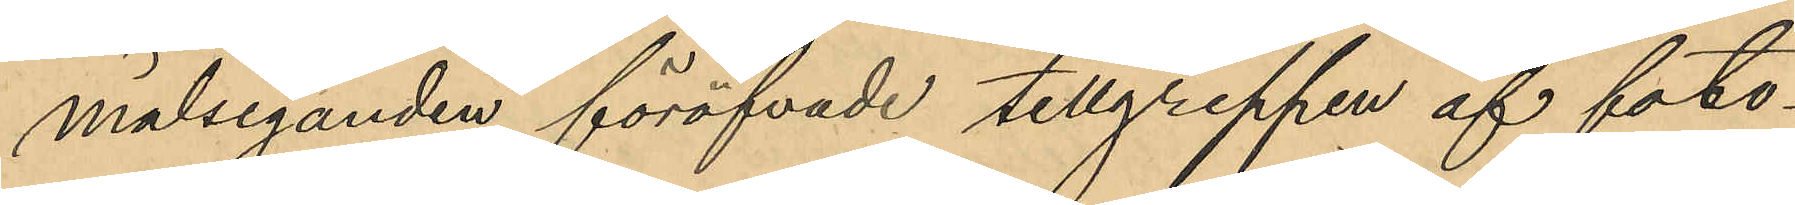målseganden föröfvade tillgreppen af foto¬
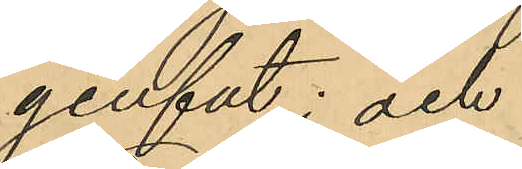génfat; och
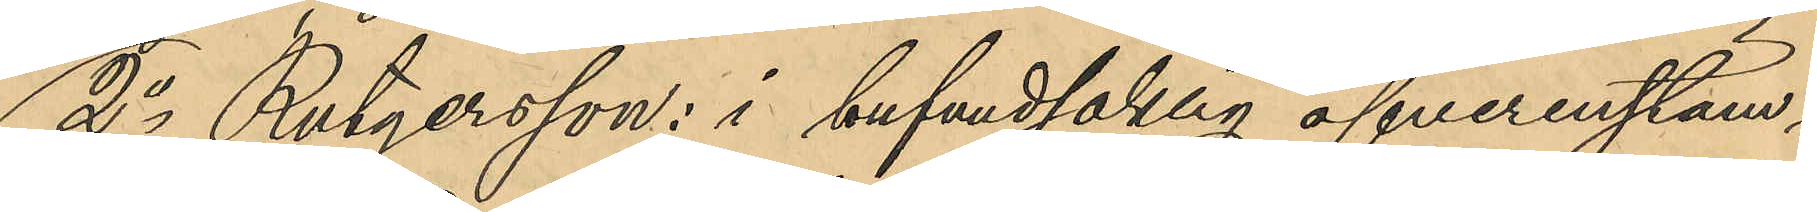2o Rutgersson: i hufvudsaklig öfverenstäm¬
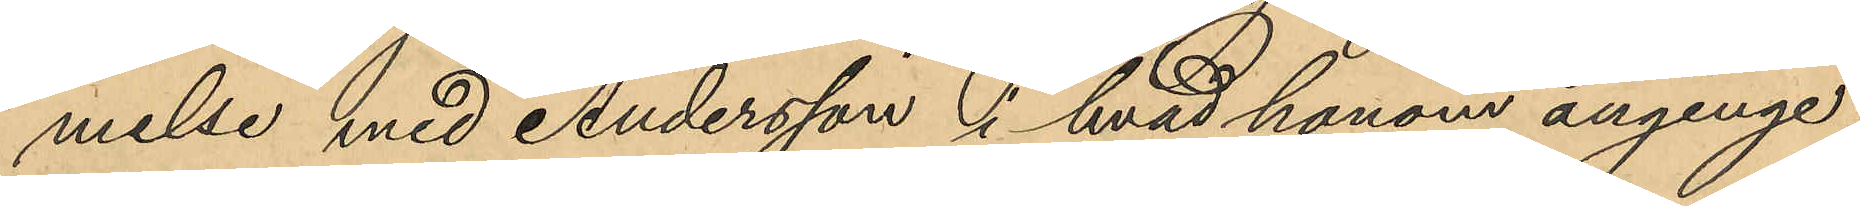melse med Andersson i hvad honom anginge;
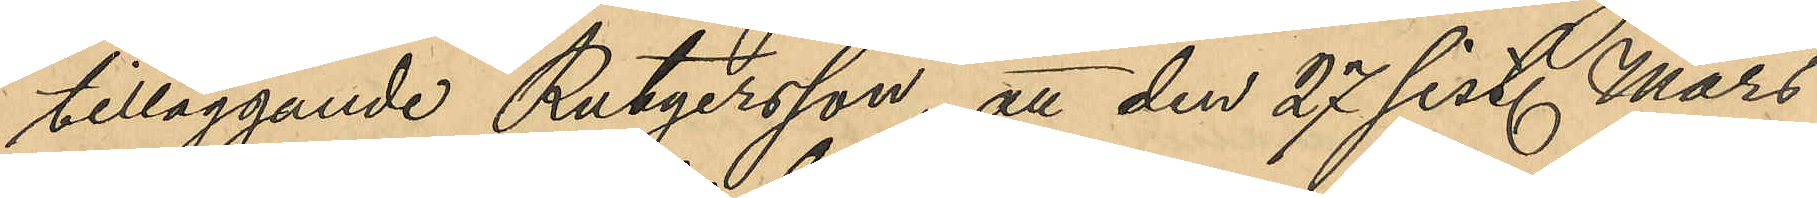tilläggande Rutgersson, att den 27 sist. Mars
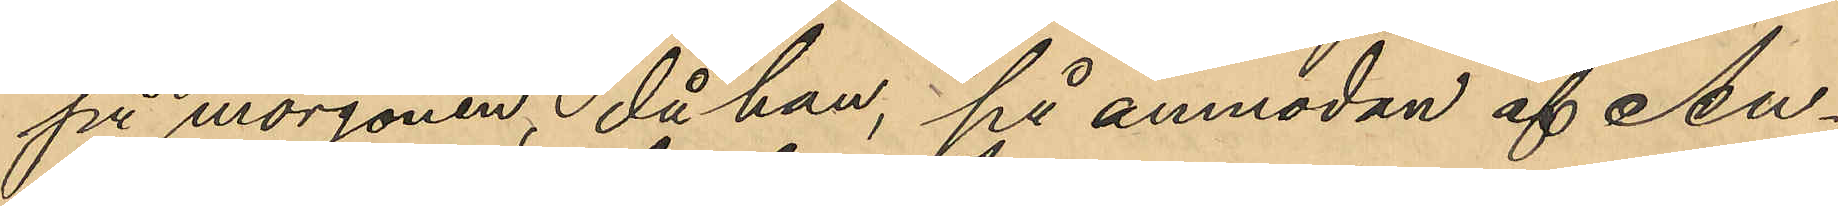på morgonen, då han, på anmodan af An¬
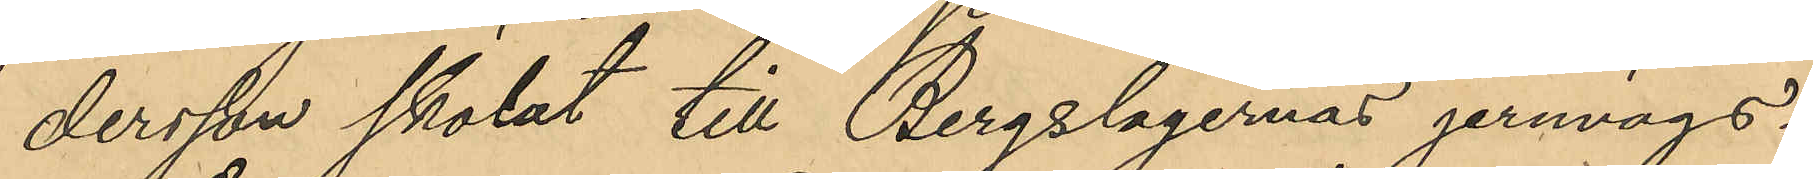dersson skolat till Bergslagernas jernvägs¬
